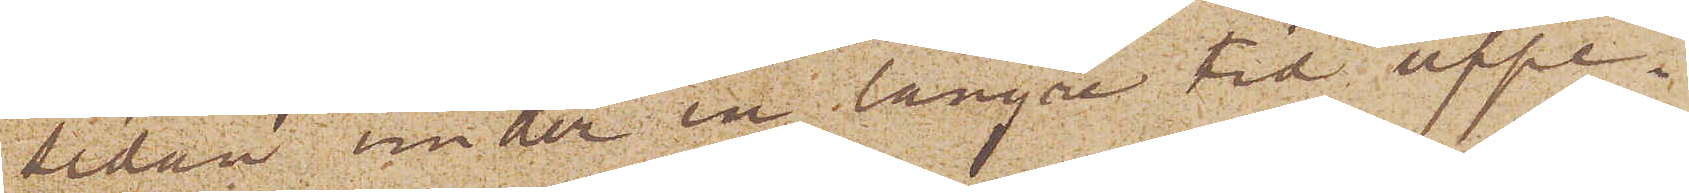sedan under en längre tid uppe¬
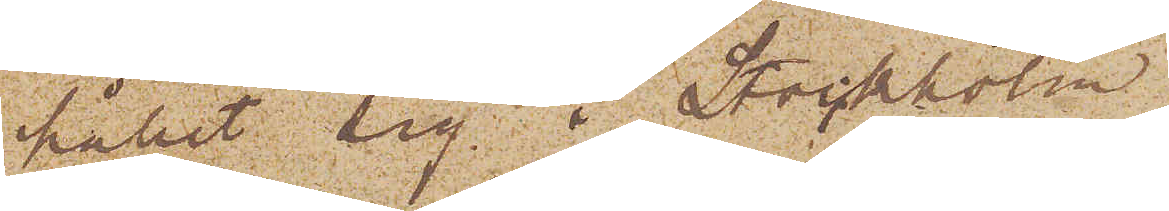hållit sig i Stockholm
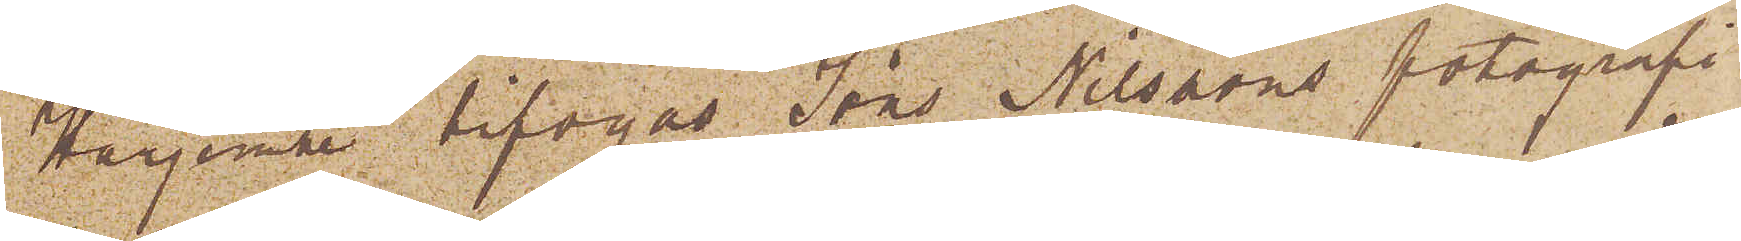Härjemte bifogas Jöns Nilssons fotografi
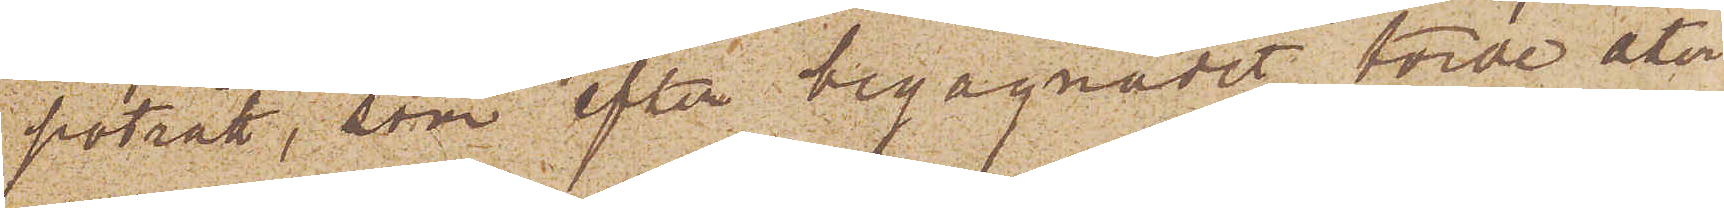porträtt, som efter begagnadet torde åter¬
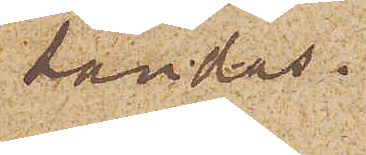sändas.
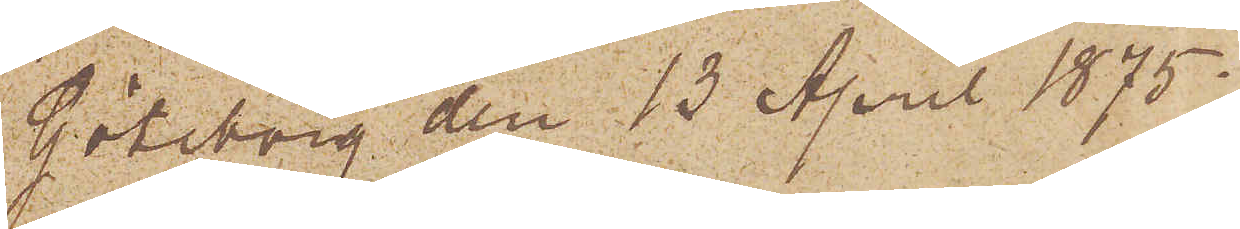Göteborg den 13 April 1875.
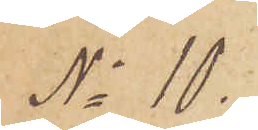No 10.
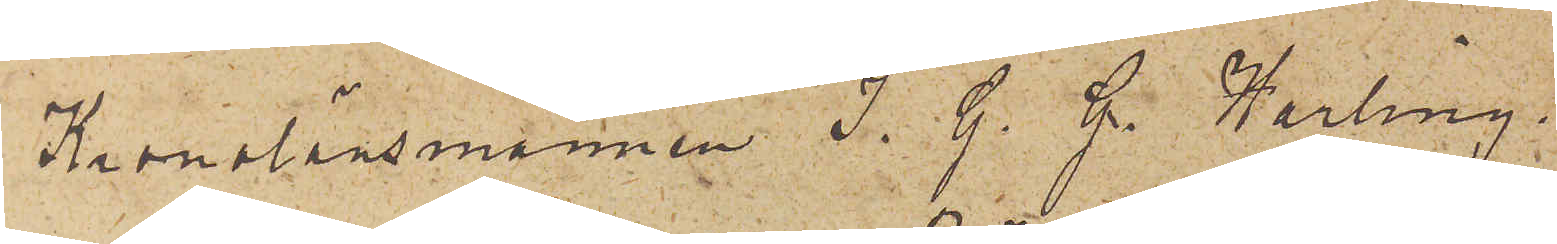Kronolänsmannen J. G. G. Harling;
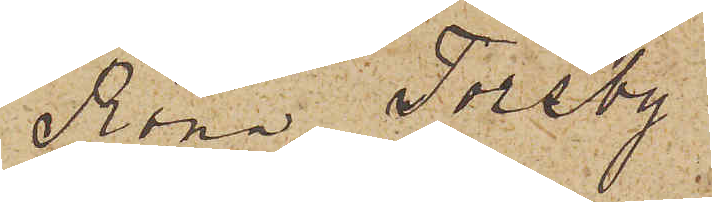Röna Torsby
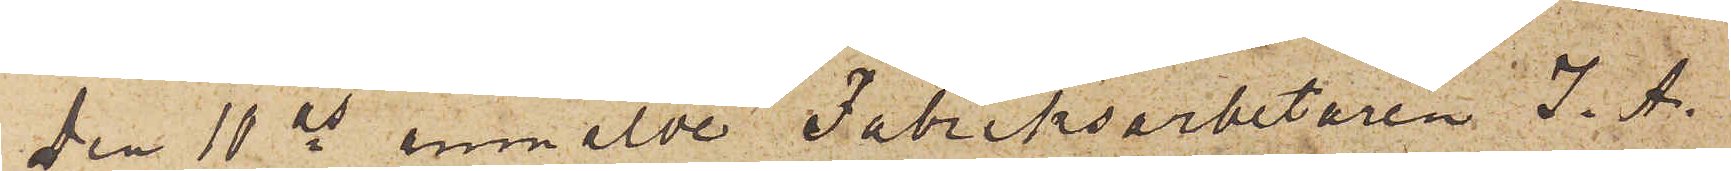Den 11 ds anmälde Fabriksarbetaren J. A.
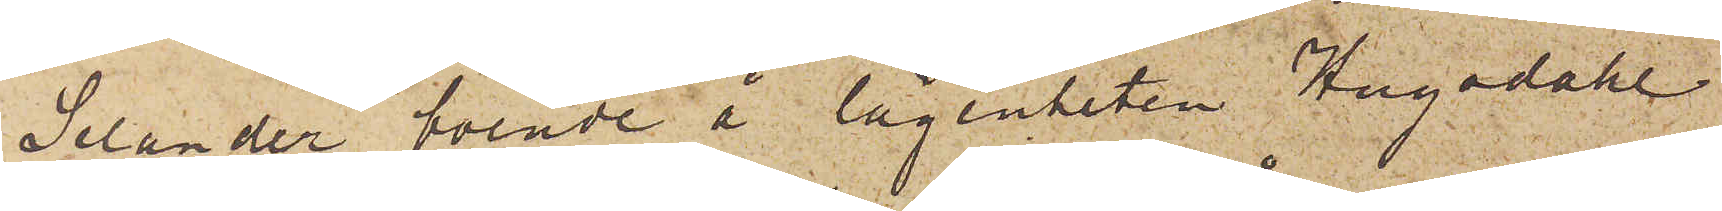Selander boende å lägenheten Hagadahl
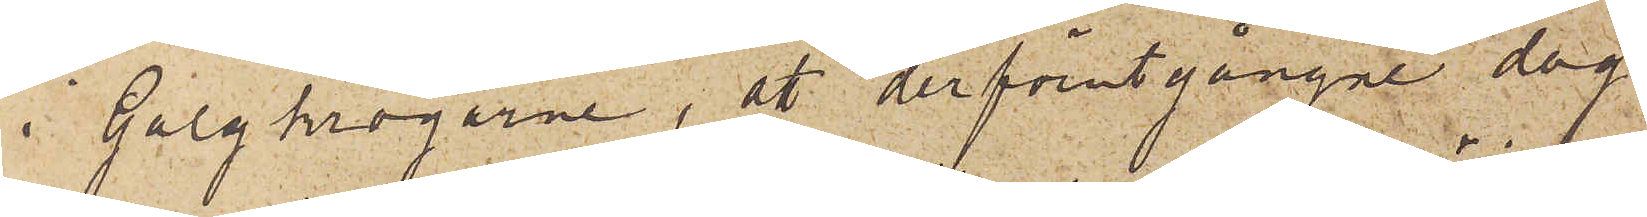i Galgkrogarne, att derförutgångne dag
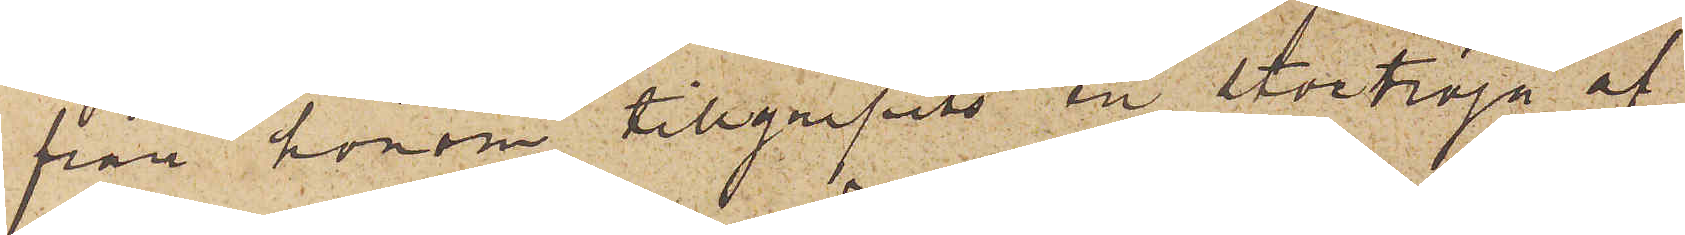från honom tillgripits en stortröja af
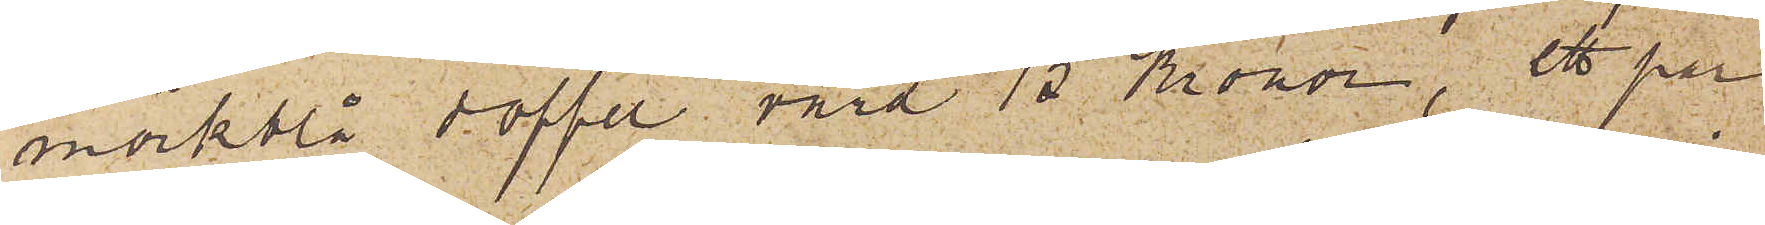mörkblå doffel, värd 15 Kronor, ett par
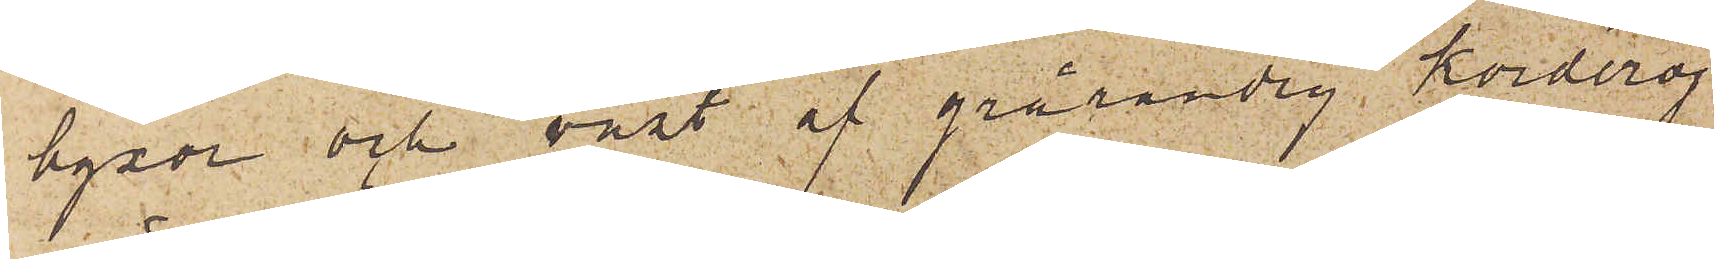byxor och väst af grårandig korderoj
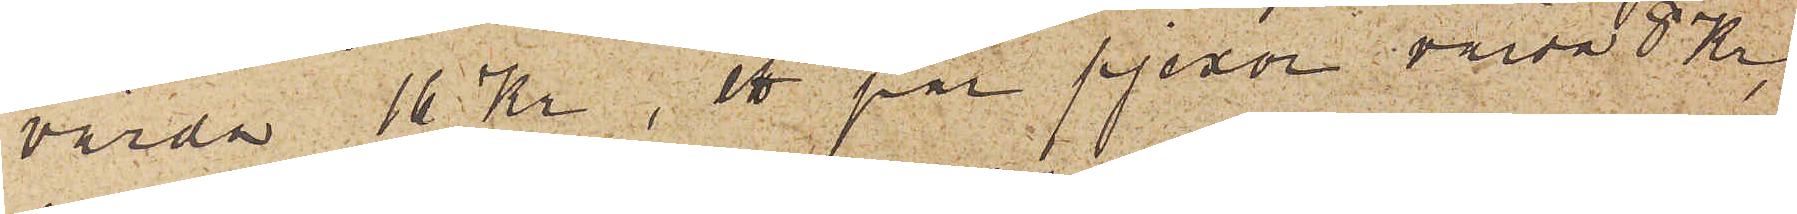värda 16 Kr, ett par pjexor, värda 8 Kr
